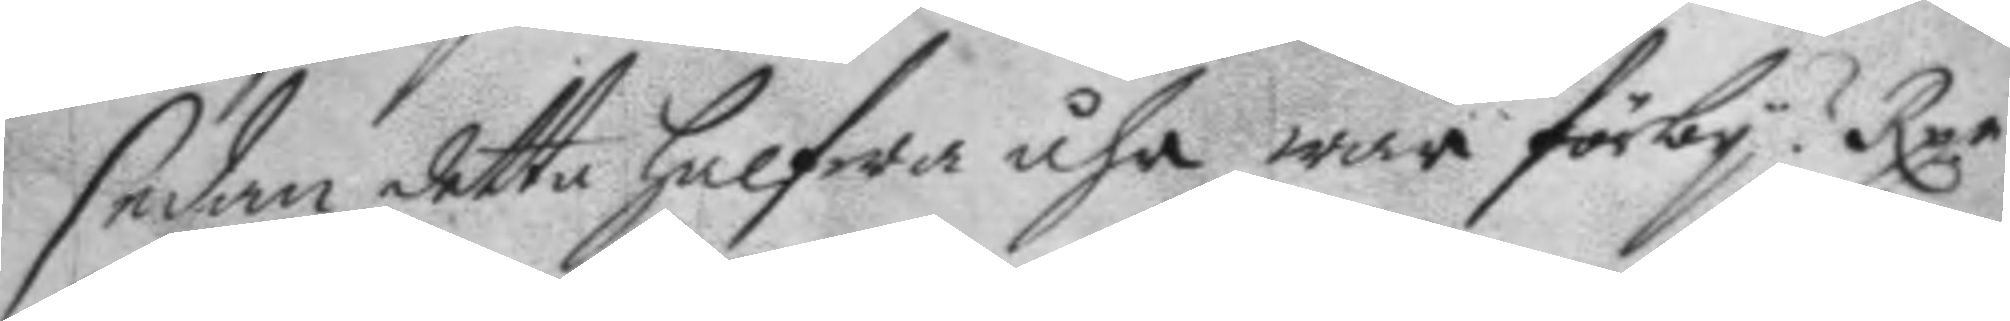sedan detta halfwa åhr war förby? Rp.r
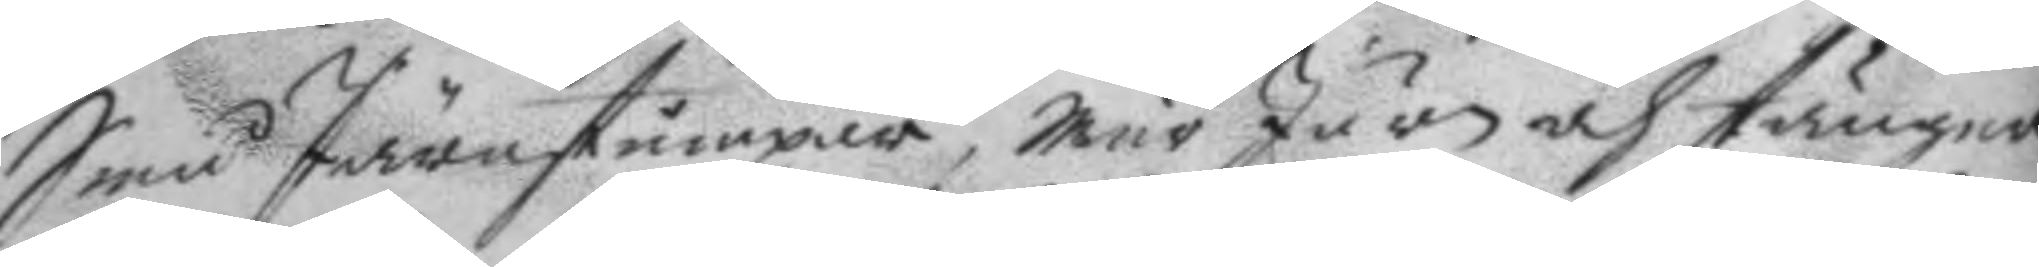Små Järnstumpar, Mur Järn och stänger
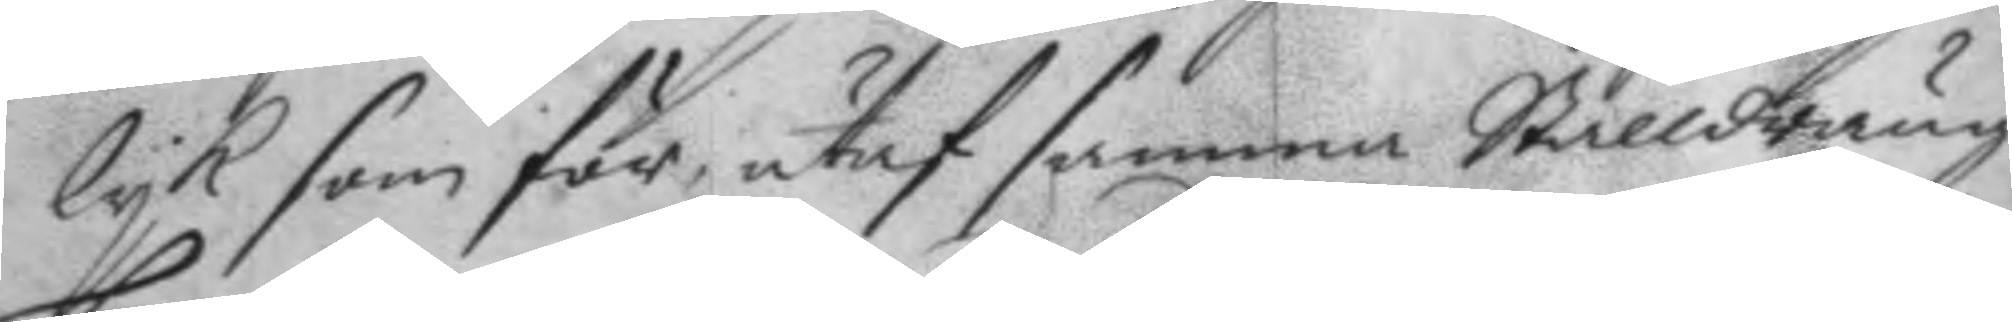lyk som för, utaf samma Stalldräng
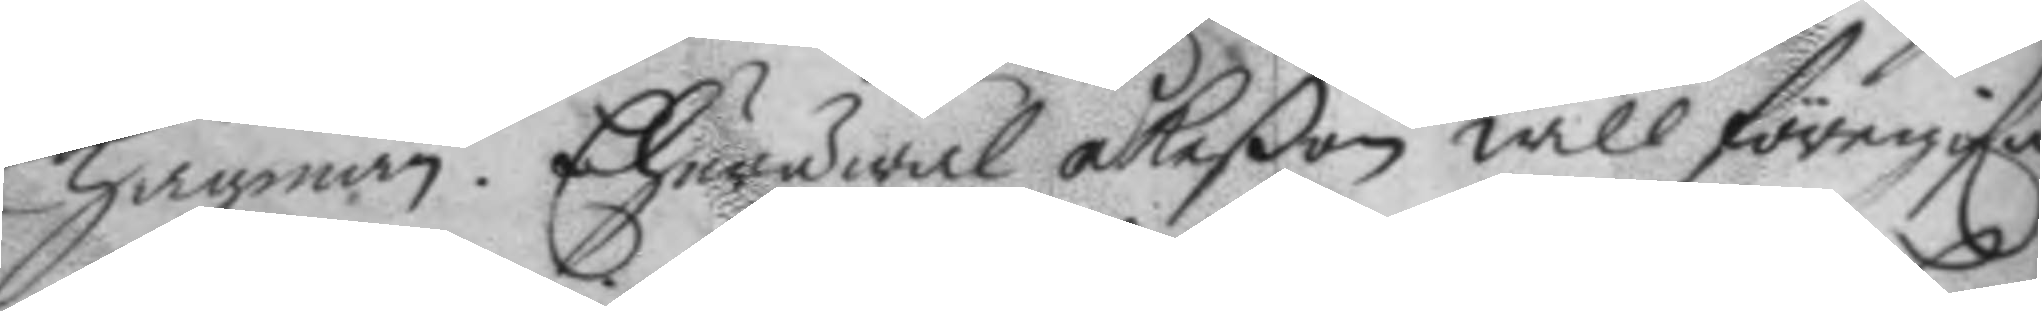Hagman. Ehurwäl åkeßon will föregifa
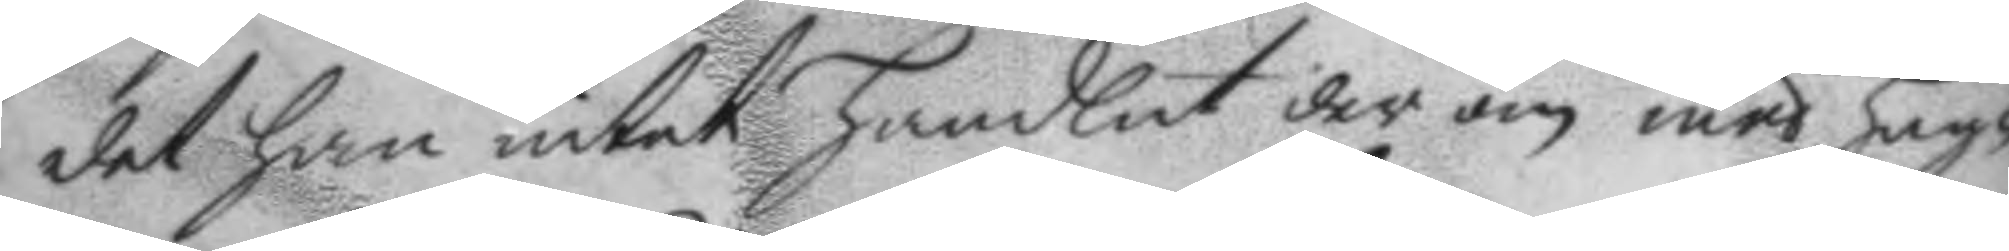det han intet Handlat der om med Hag¬
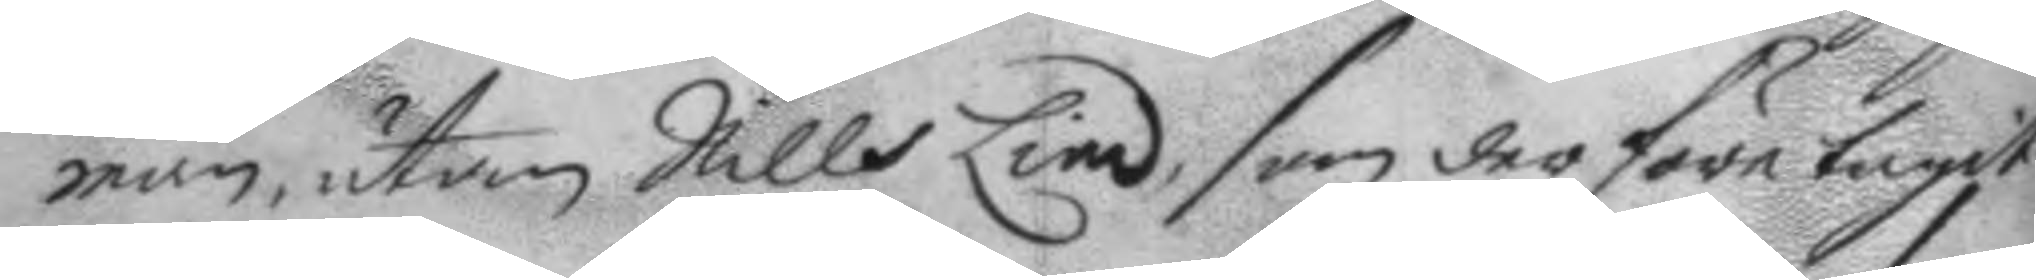man, utan Nills Lind, som der före tagit
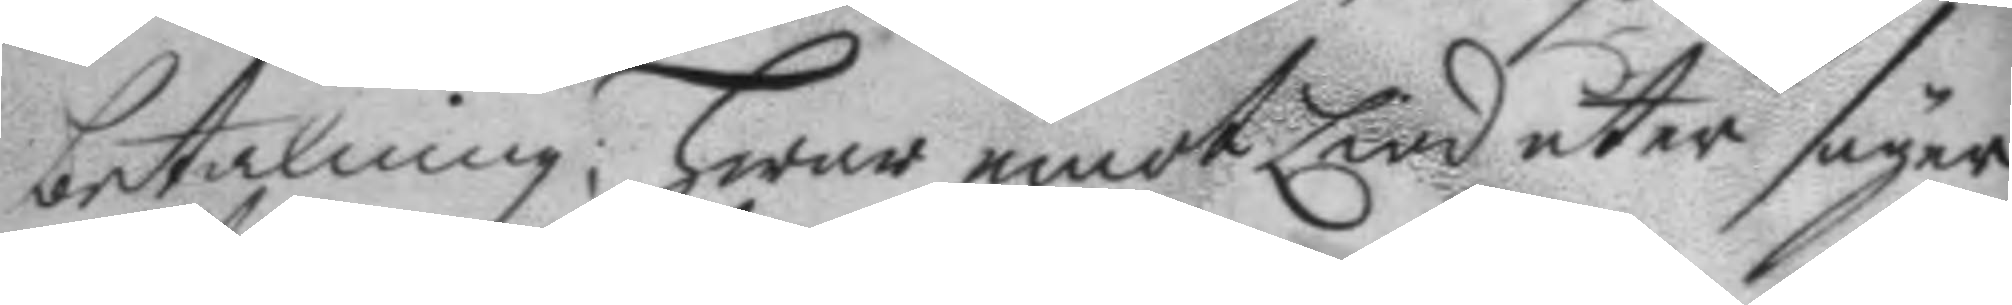betalning,; Hwar emot Lind åter säger
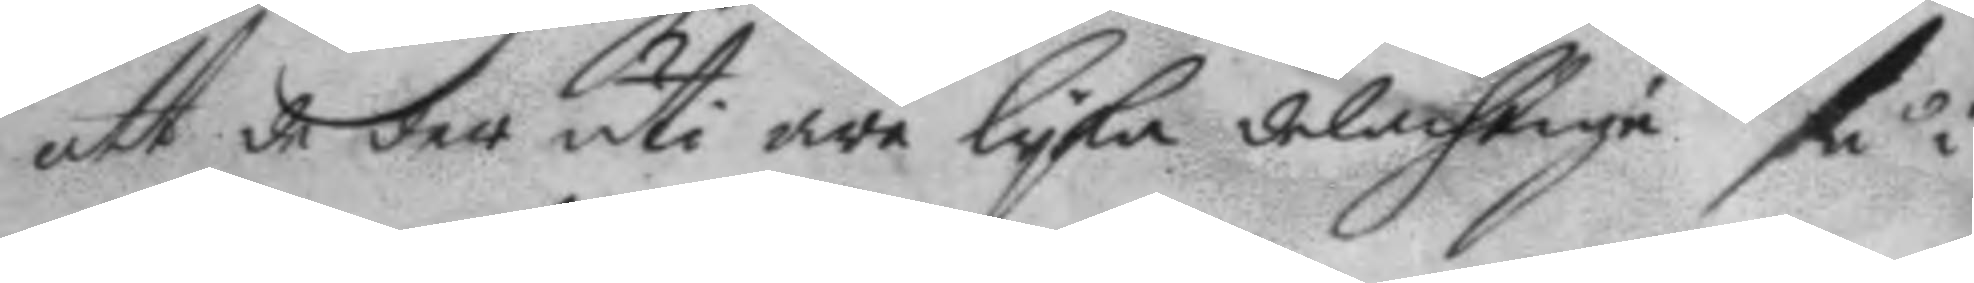att de der uti äre lyka delachtige så i
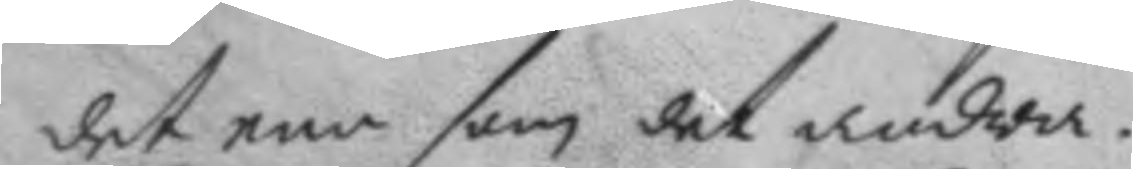det ena som det andra.
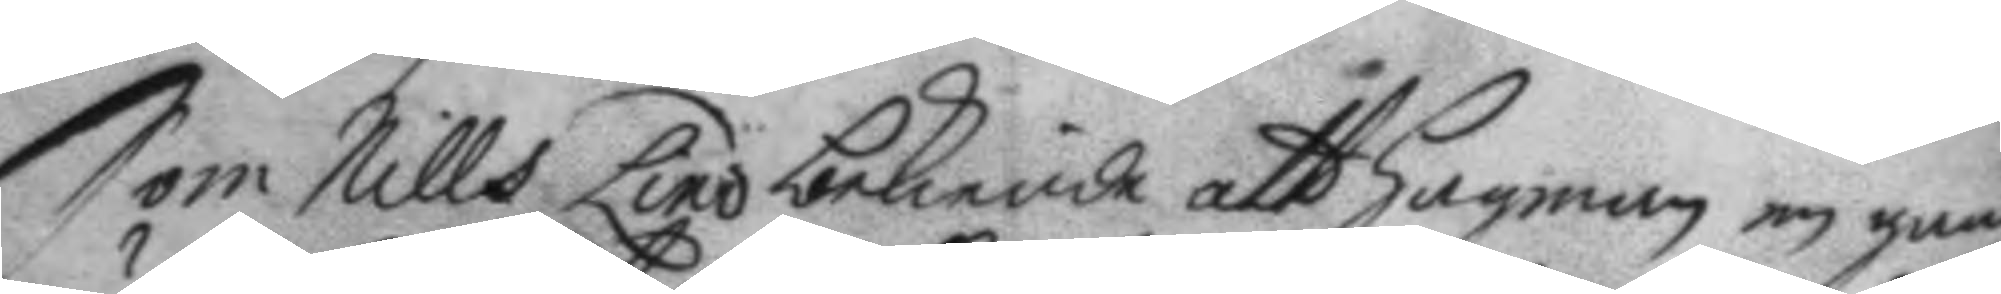Som Nills Lind bekiende att Hagman en gång
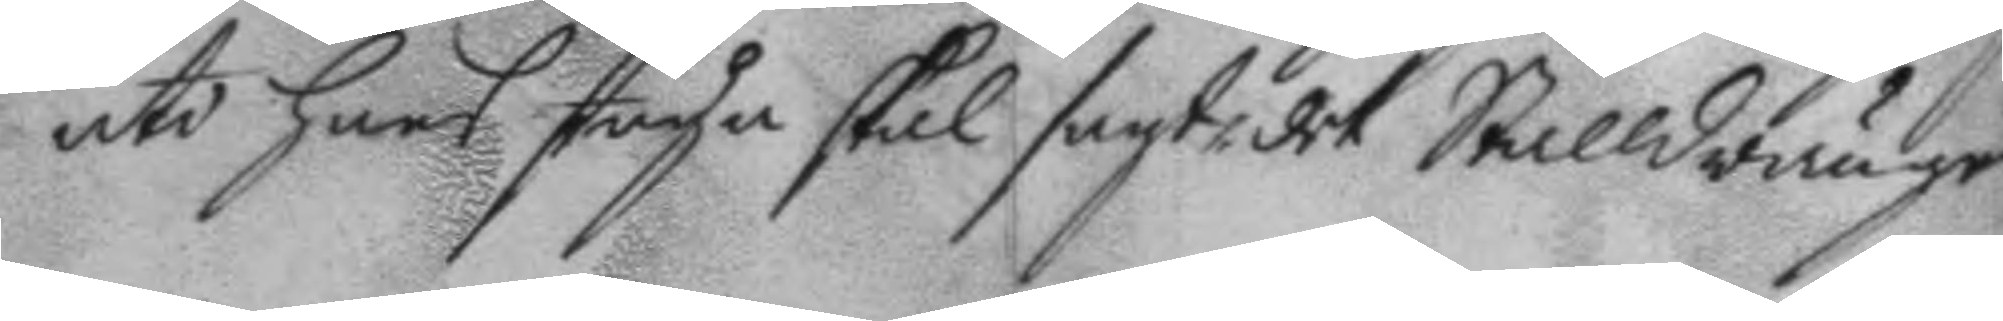uti hans stuga skal sagt det Stalldrängen
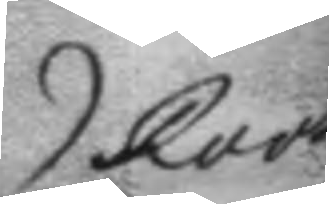Root
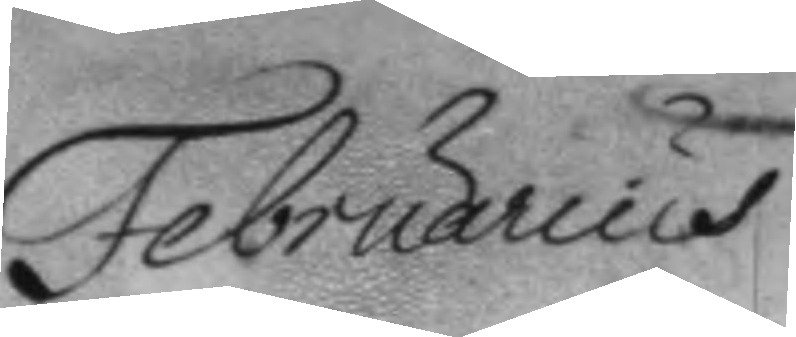Februarius
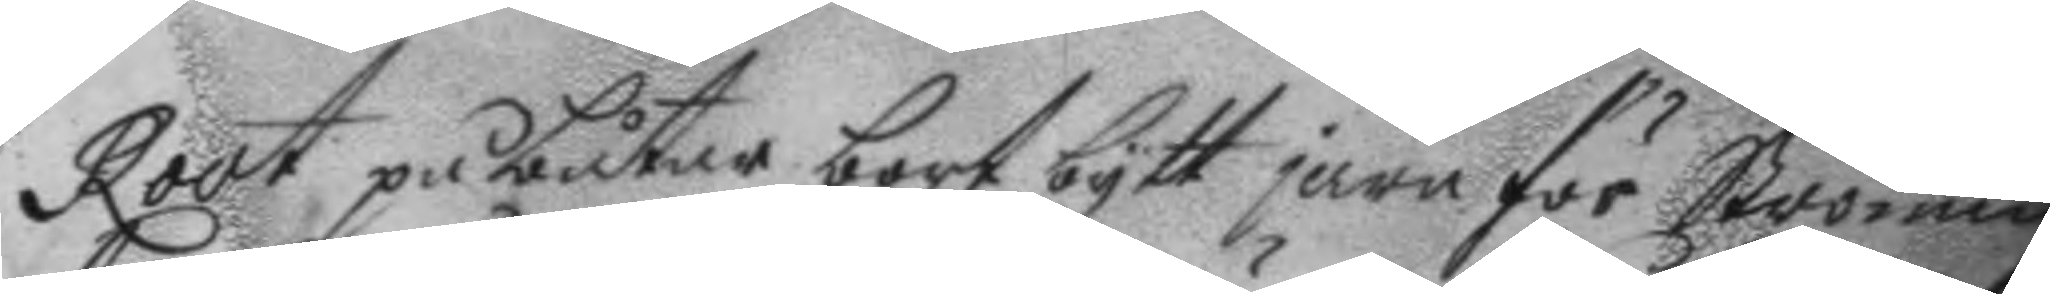Root påbåter bort bytt järn för Strömm
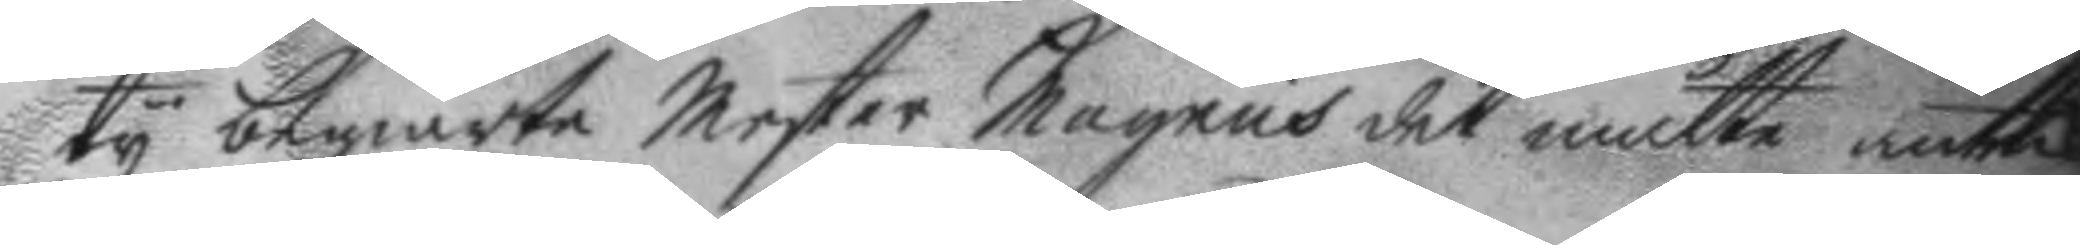ty begierte Mester Magnus det måtte antt
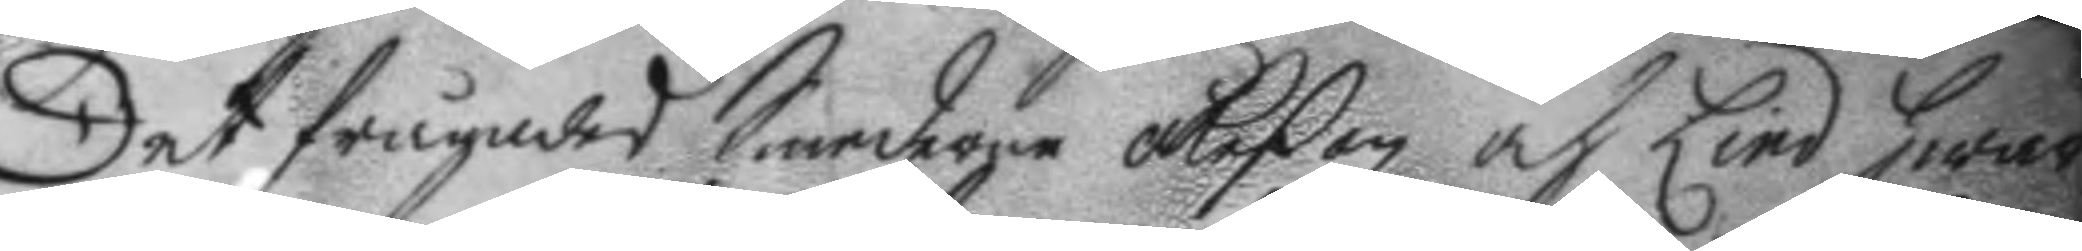Det frågades Smederne åkeßon och Lind hwar
